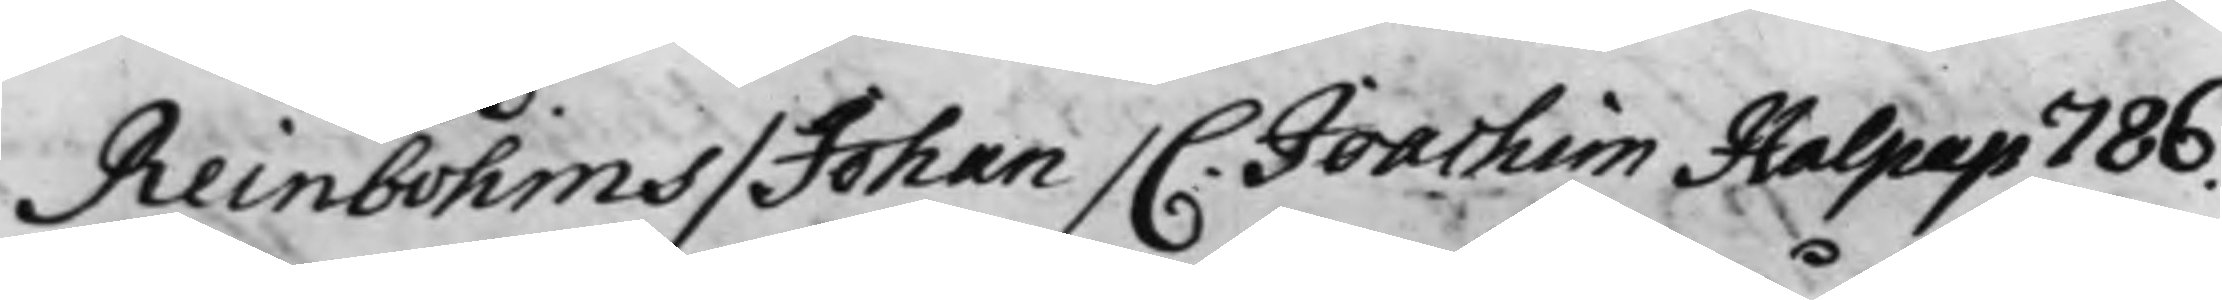Reinbohms / Johan / C. Joachim Halpap 786.
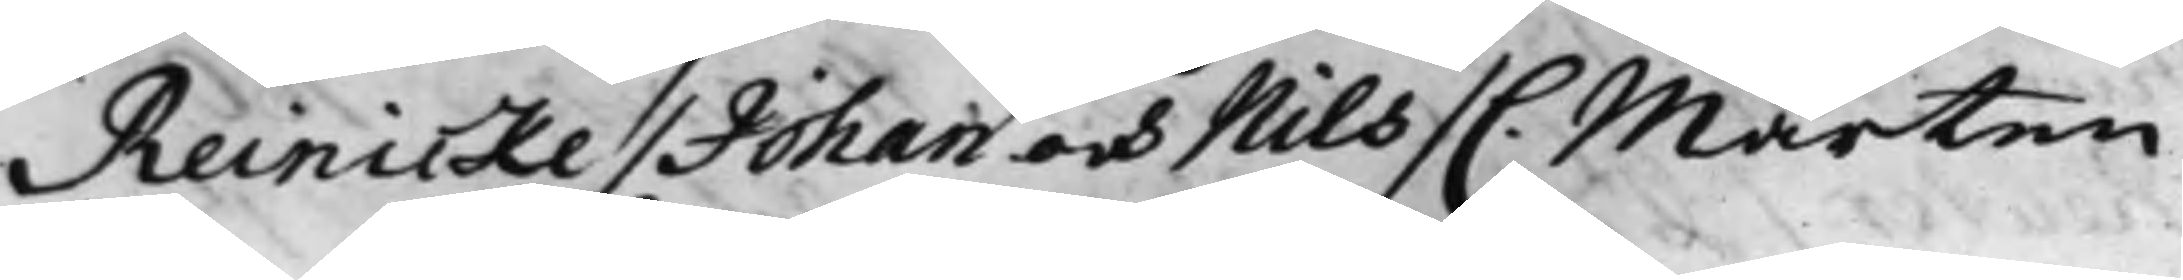Reinicke / Johan och Nils / C. Mårten
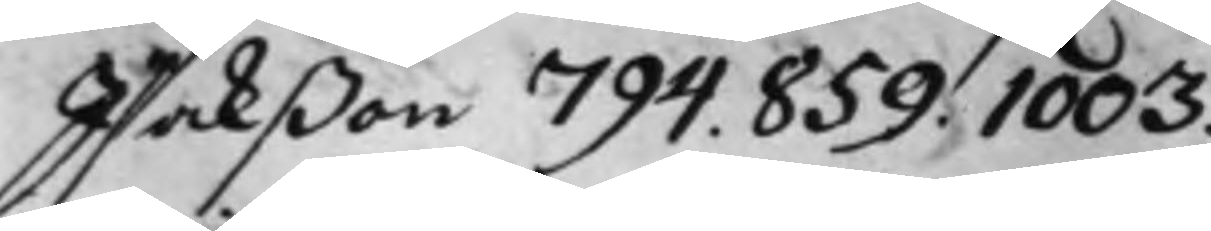Isakßon 794. 859. 1003.
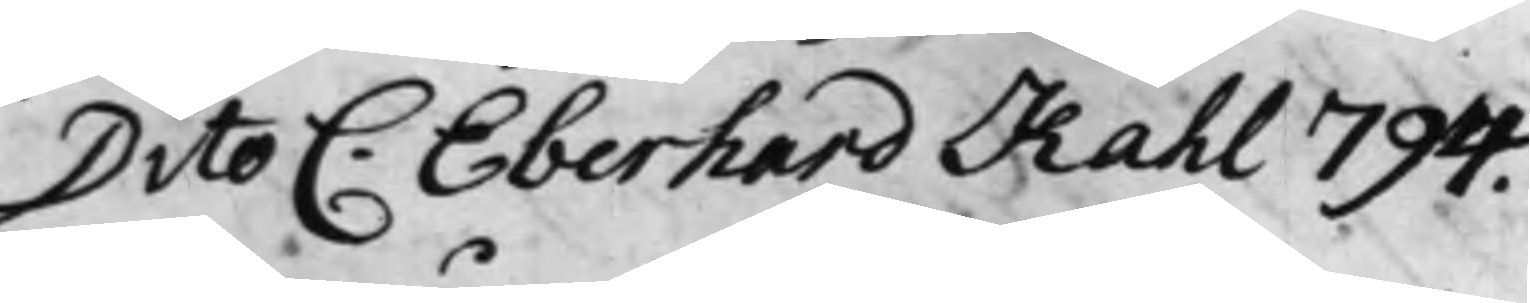Dito C: Eberhard Kahl 794.
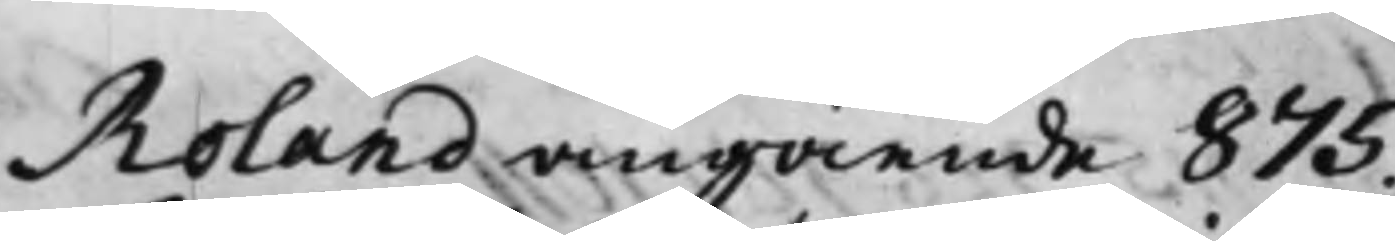Roland angående 875.
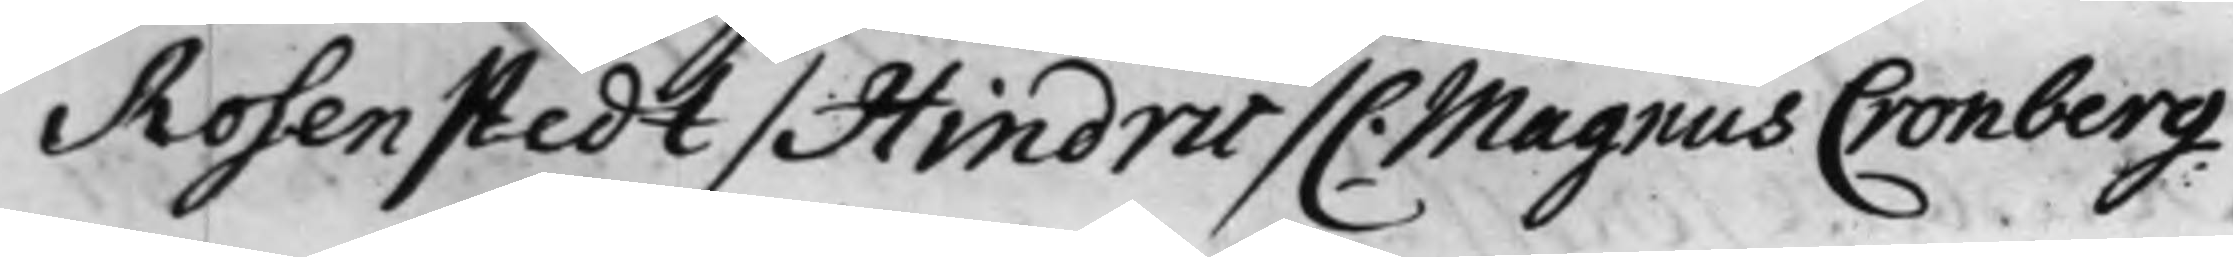Rosenstedt / Hindric / C. Magnus Cronberg
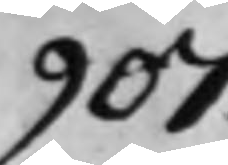907.
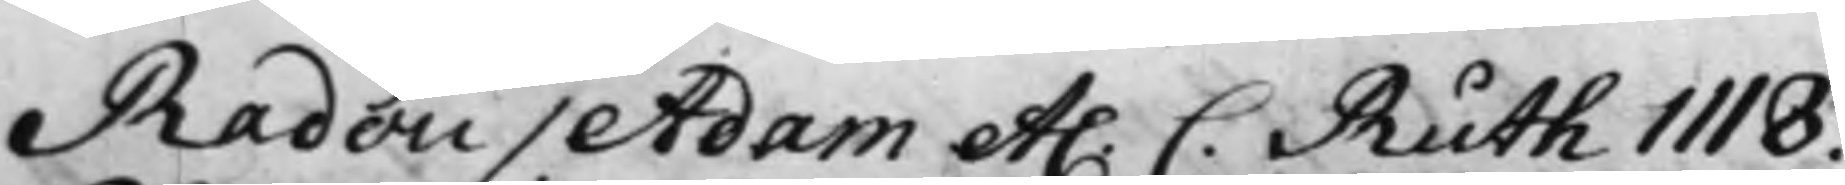Radou / Adam et. C. Ruth 1118.
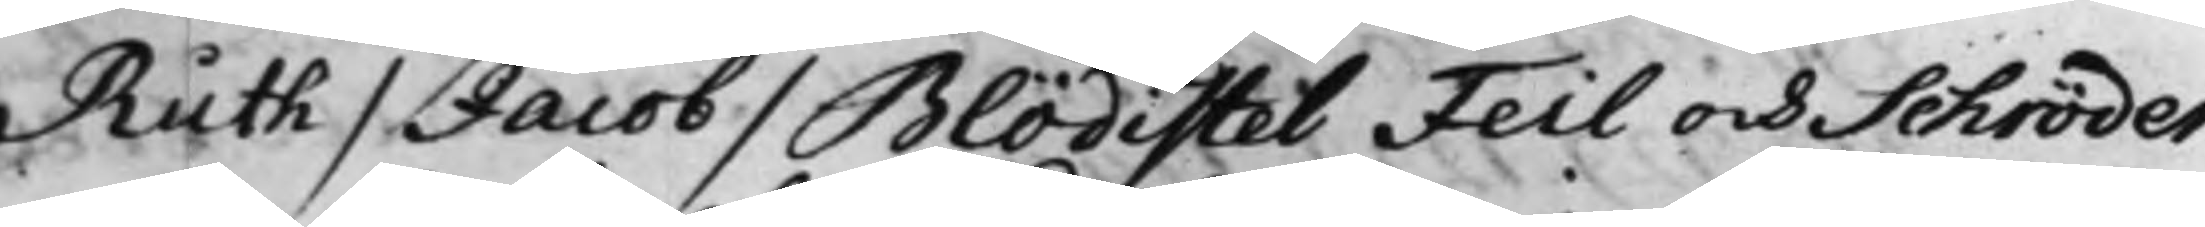Ruth / Jacob / Blödistel Feil och Schröder
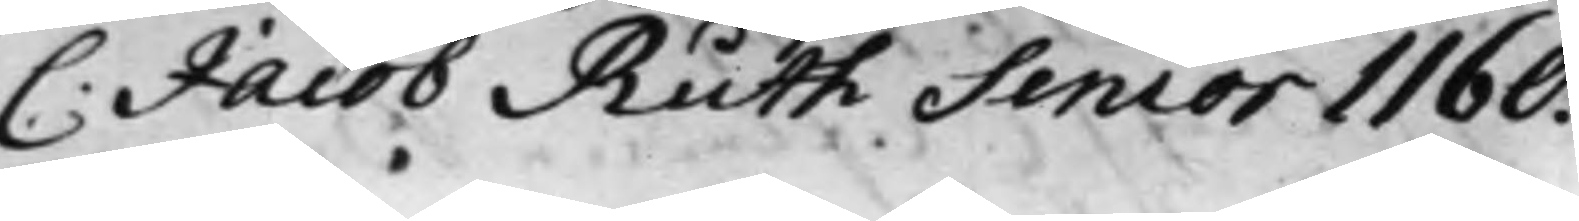C. Jacob Ruth Senior 1160.
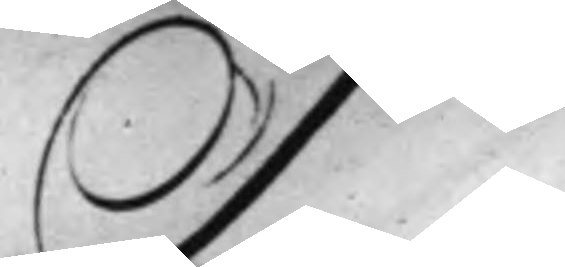S
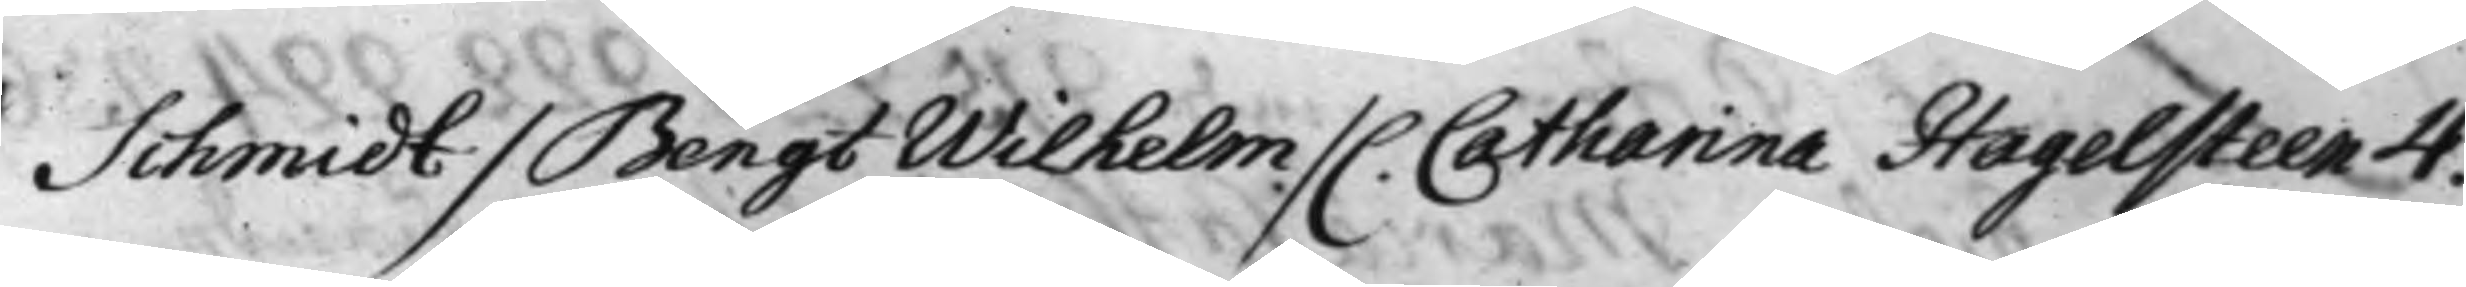Schmidt / Bengt Wilhelm / C. Catharina Hagelsteen 4.
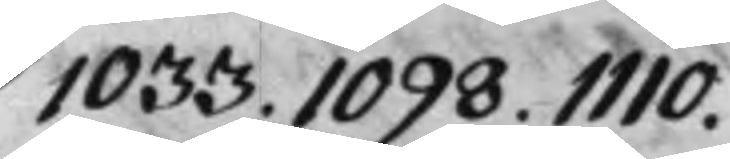1033. 1098. 1110.
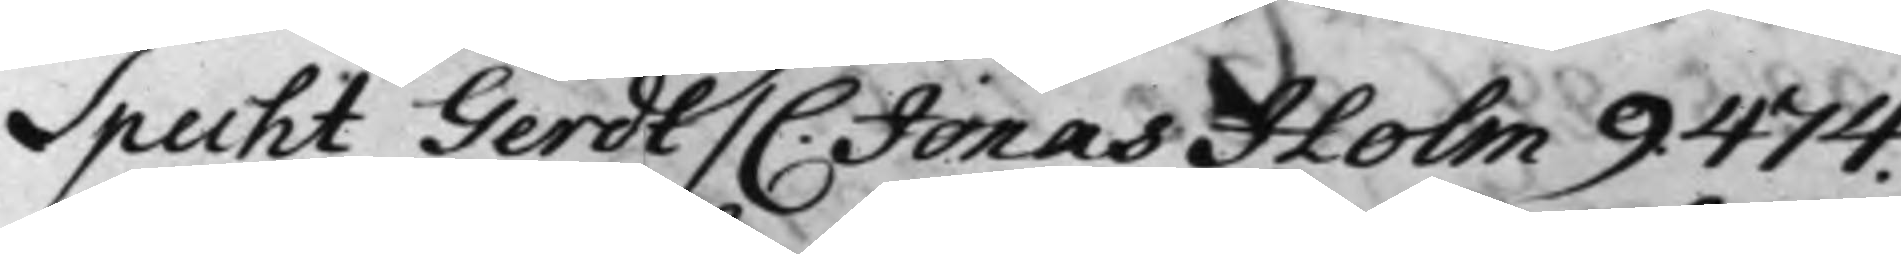Specht Gerdt / C. Jonas Holm 9. 474.
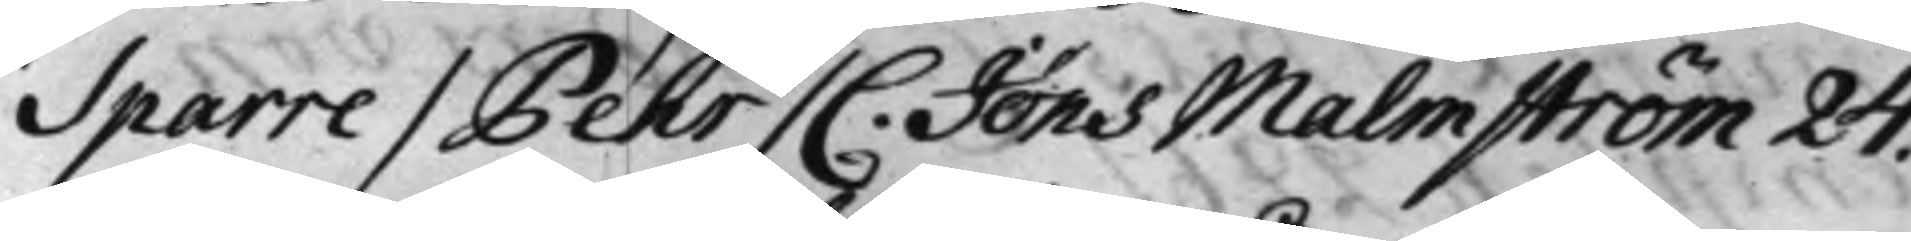Sparre / Pehr / C. Jöns Malmström 24.
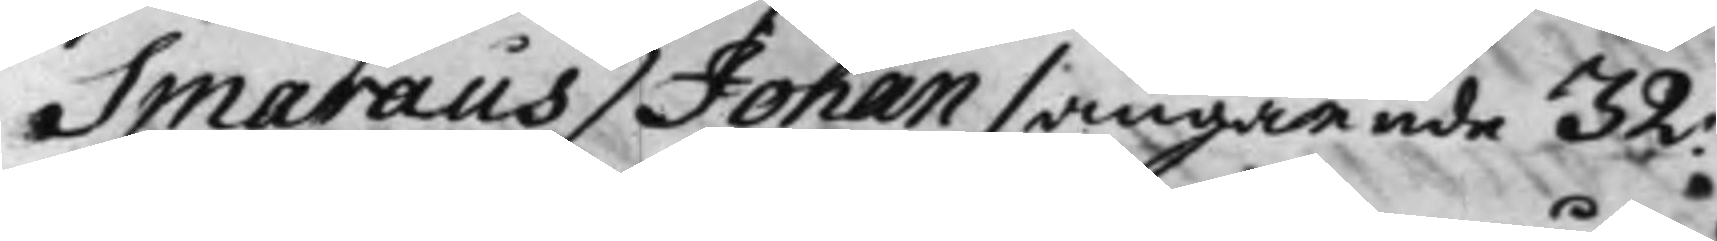Smaraeus / Johan / angående 32.
